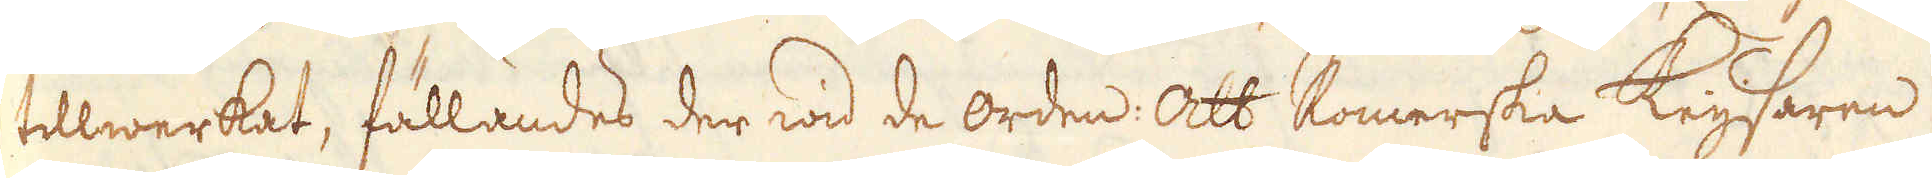tillwerkat, fällandes der wid de orden: att Romerska Keijsaren
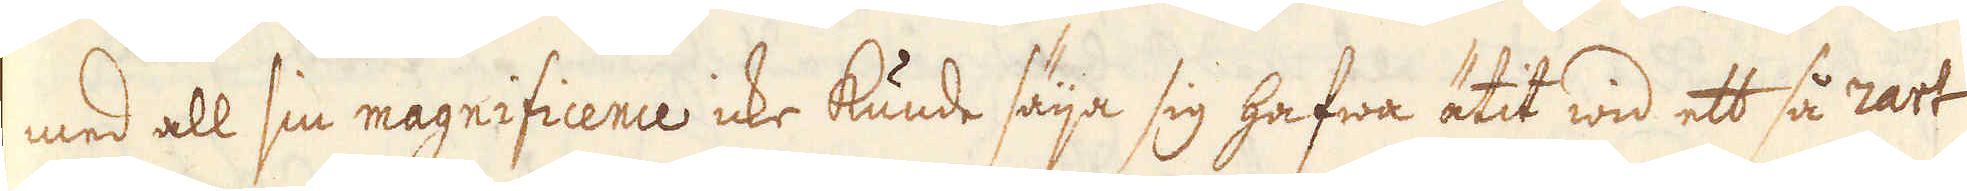med all sin magnificence icke kunde säija sig hafwa ätit wid ett så rart
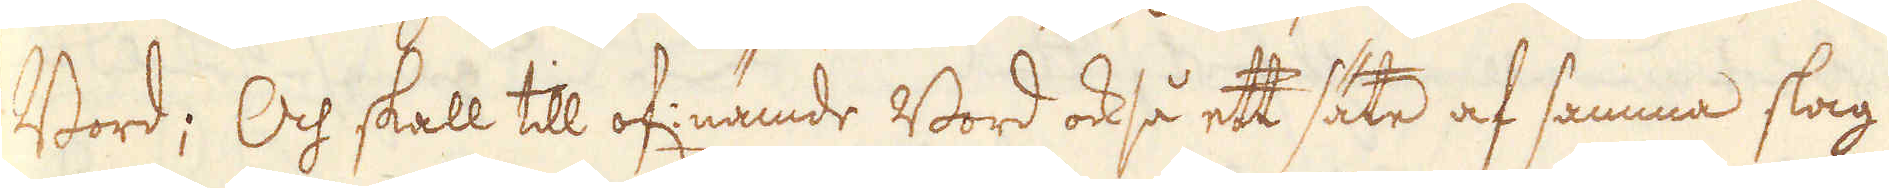Bord; Och skall till of: nämde Bord också ett säte af samma slag
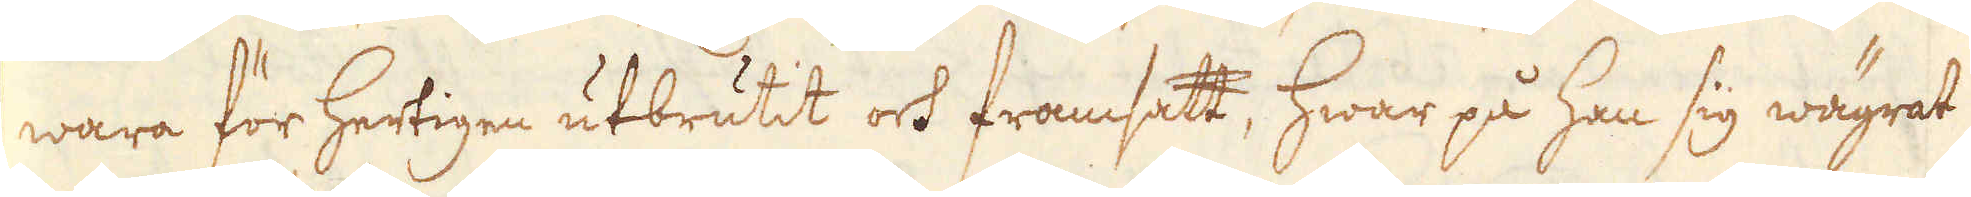wara för Hertigen utbrutit och framsatt, hwar på han sig wägrat
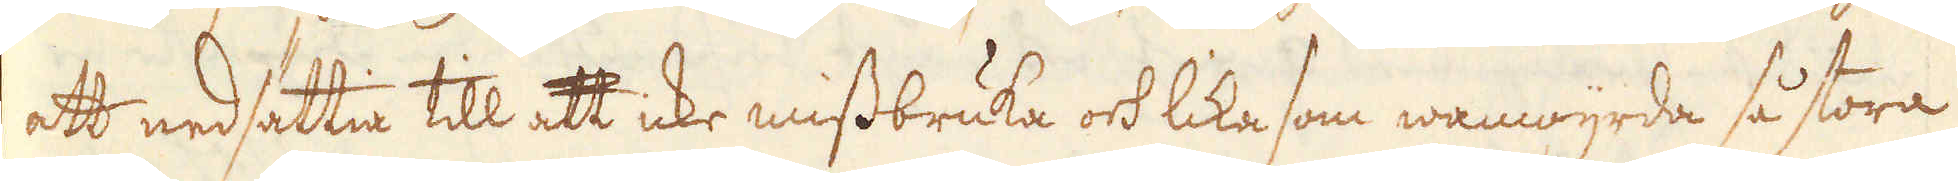att nedsättia till att icke missbruka och lika som wanwijrda så stora
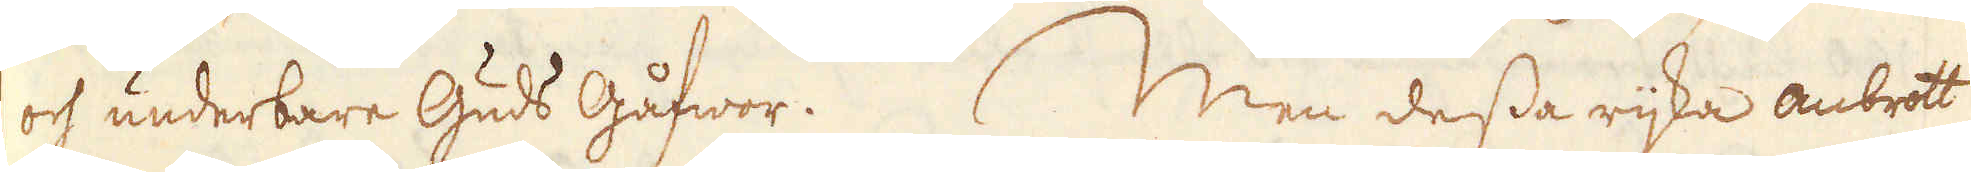och underbare Guds Gåfwor. Men dessa rijka anbrott
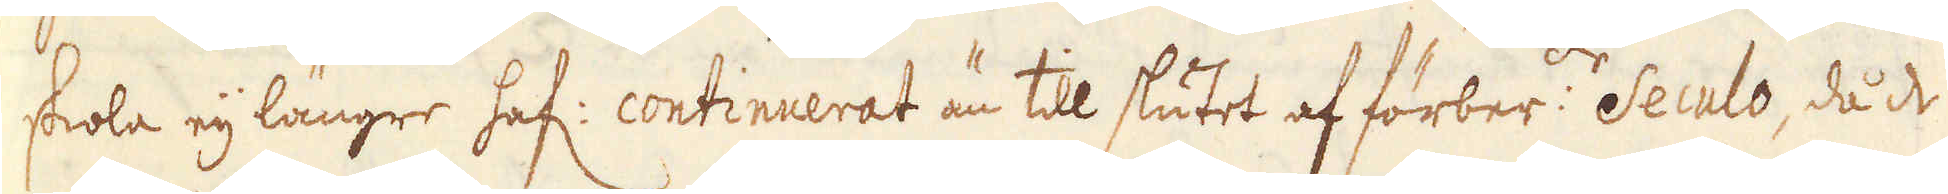skola eij längre haf: continuerat än till slutet af förber:de Seculo, då de
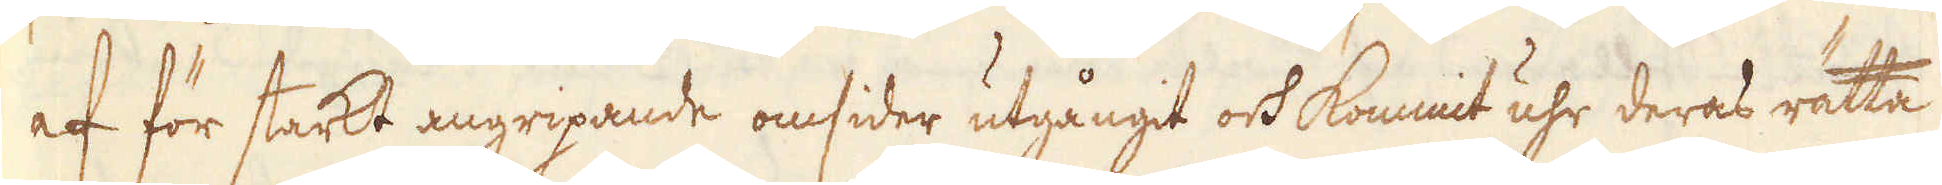af för starkt angripande omsider utgångit och kommit uhr deras rätta
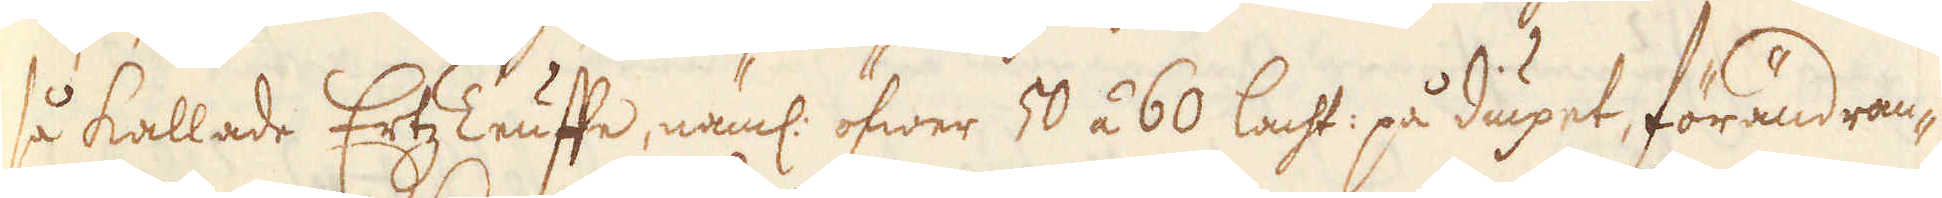så kallade Ertz Teuffe, näml: öfwer 50 á 60 lacht: på diupet, förändran-
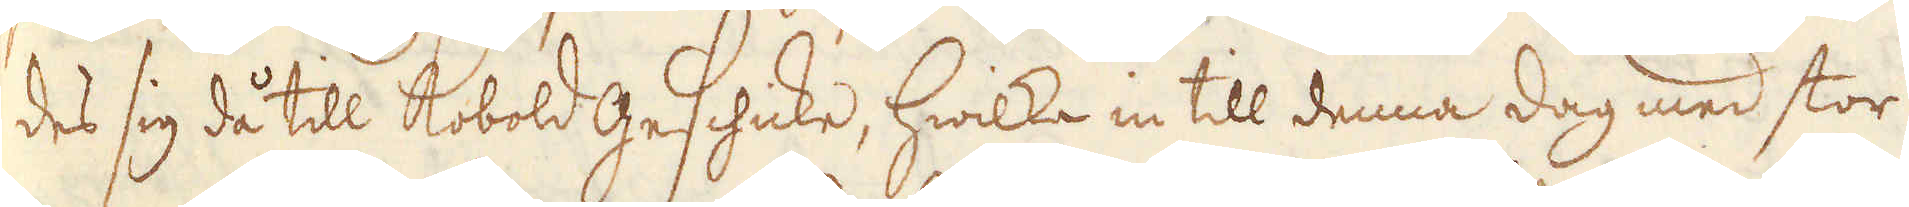des sig då till Kobold Geschicke, hwilka in till denna dag med stor
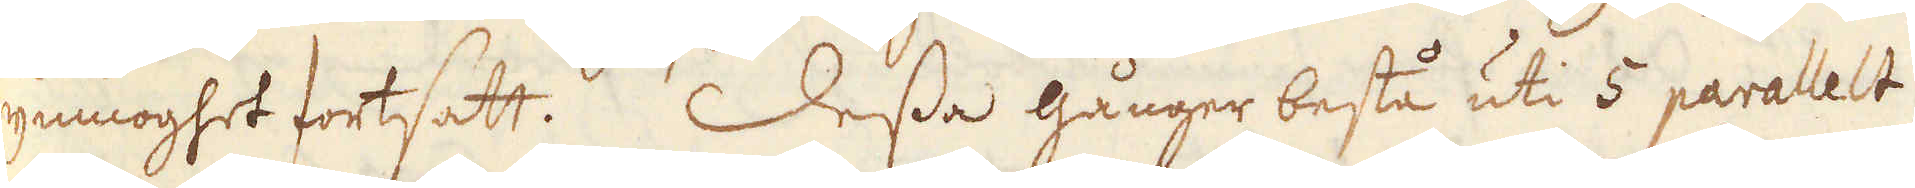ymnoghet fortsatt. Dessa gånger bestå uti 5 parallelt
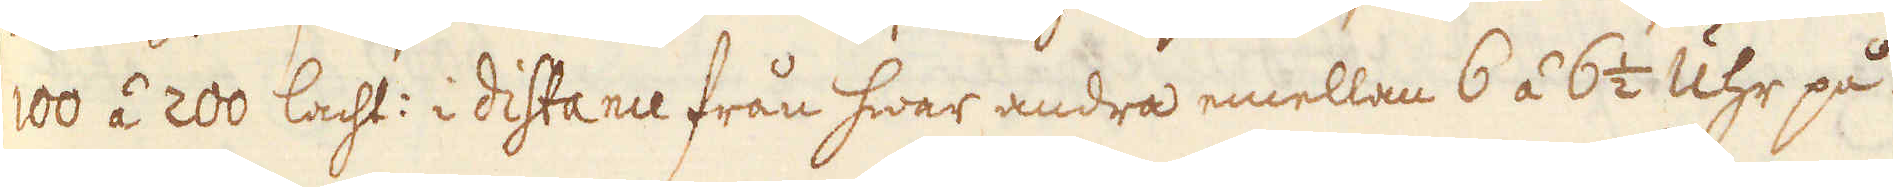100 á 200 lacht: i distance från hwar andra emellan 6 á 6 1/2 Uhr på
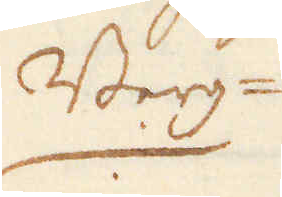Berg-
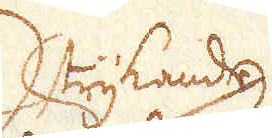strykande,
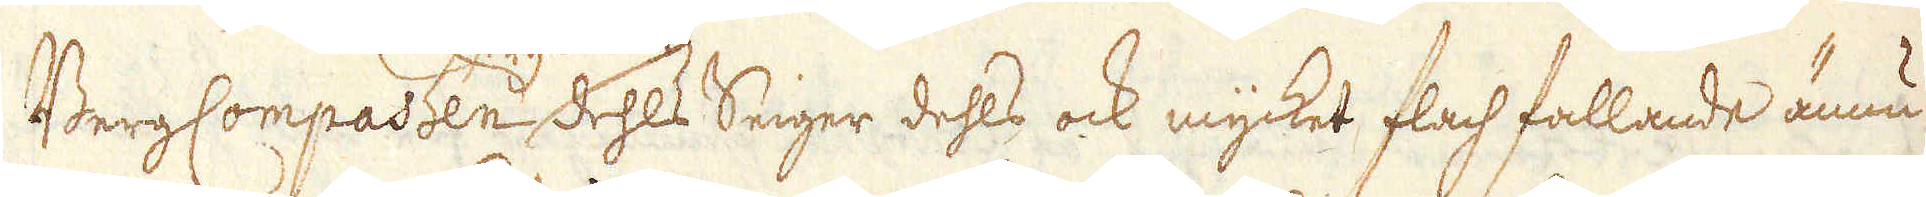Berg Compassen dehls Seiger dehls ock mycket Flach fallande ännu
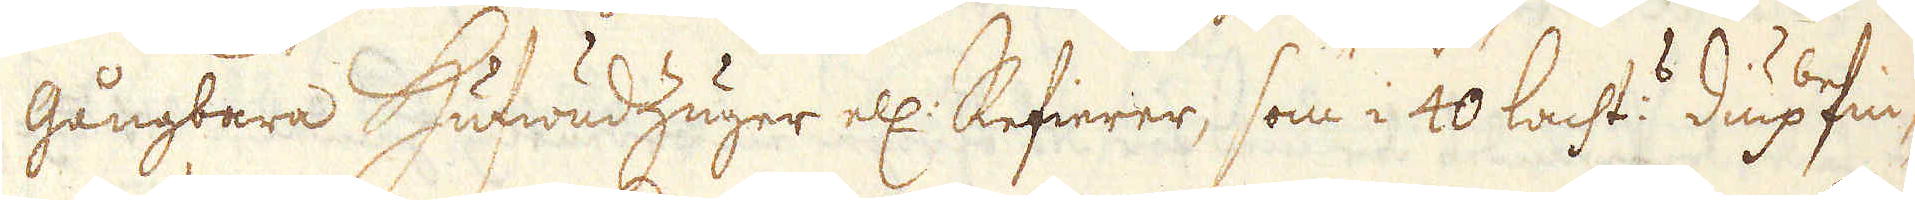gångbara HufwudZuger ell: Refierer, som i 40 lacht:s diup fin-
